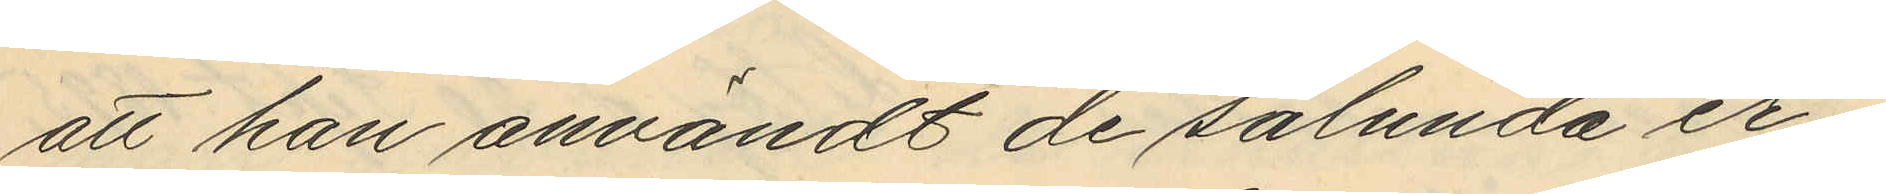att han användt de sålunda er¬
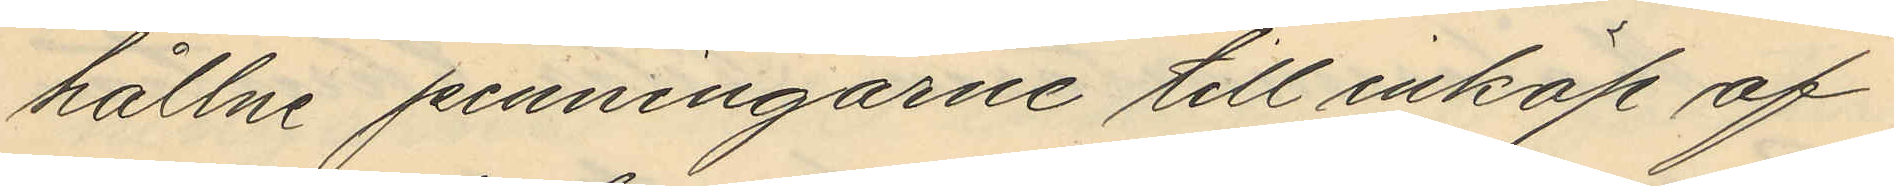hållne penningarne till inköp af
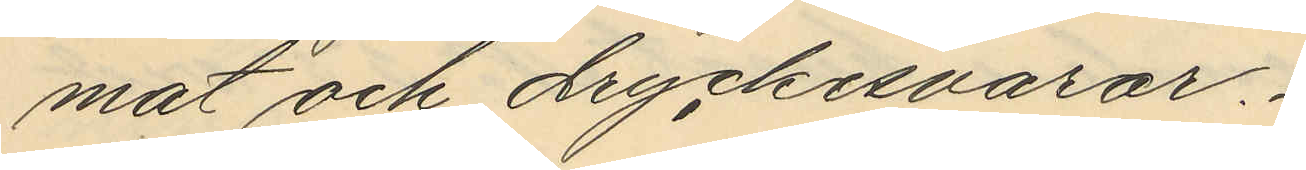mat och dryckesvaror.
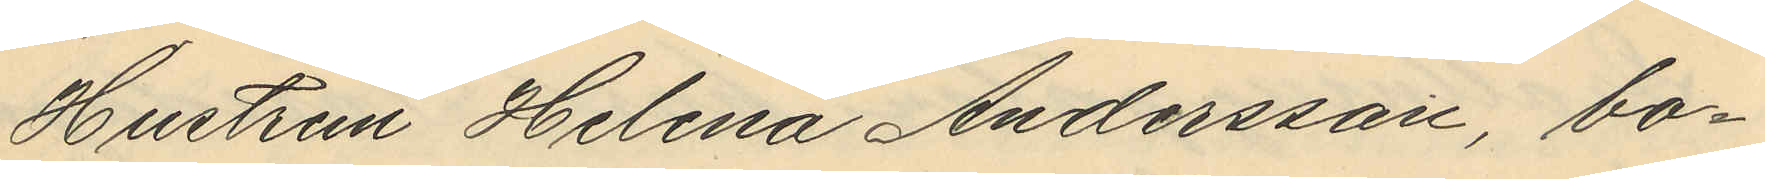Hustrun Helena Andersson, bo¬
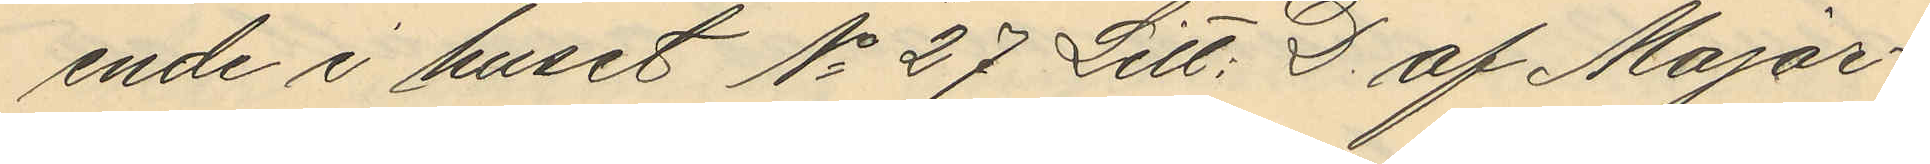ende i huset No 27 Litt. D. af Major
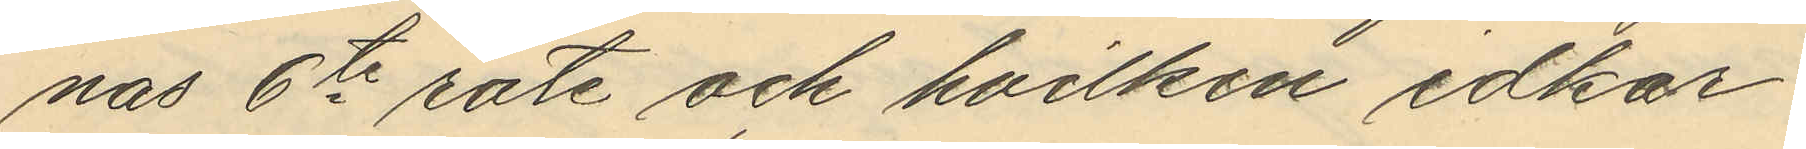nas 6te rote och hvilken idkar
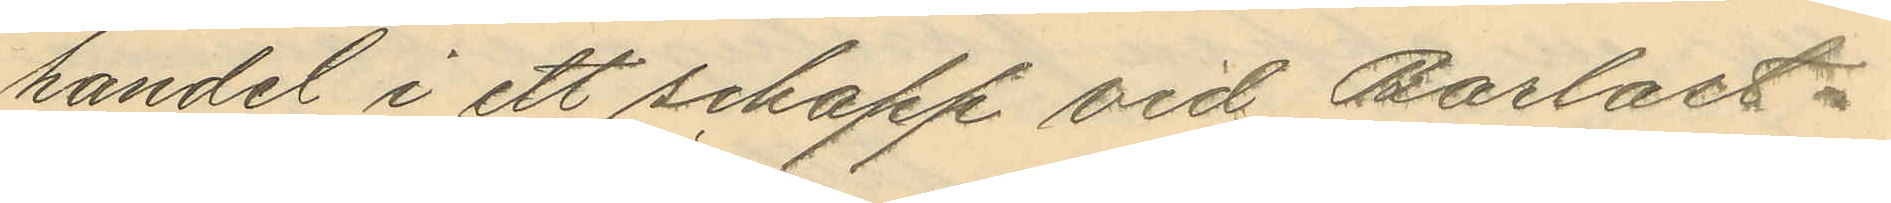handel i ett schapp vid Barlast¬
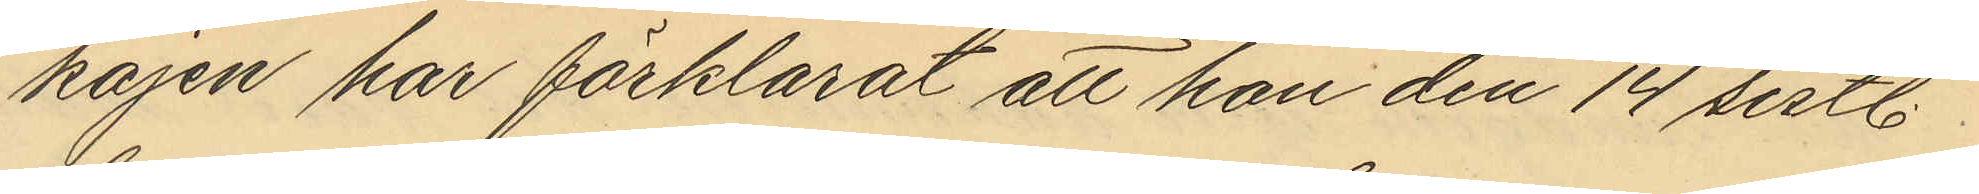kajen har förklarat att han den 14 sistl.
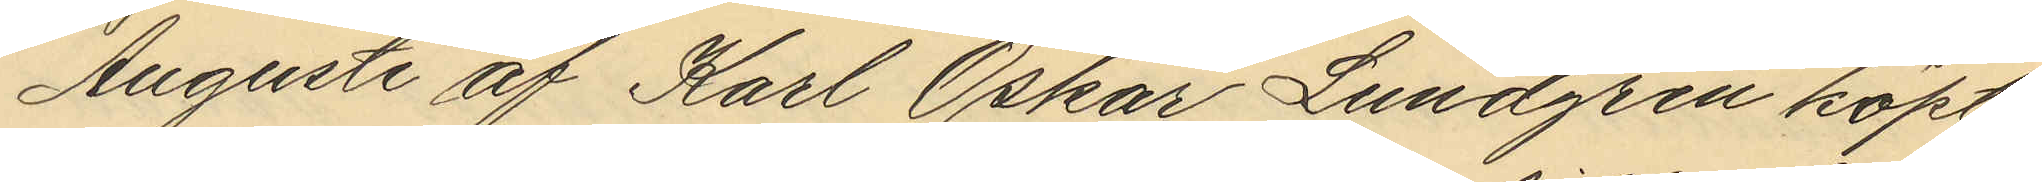Augusti af Karl Oskar Lundgren köpt
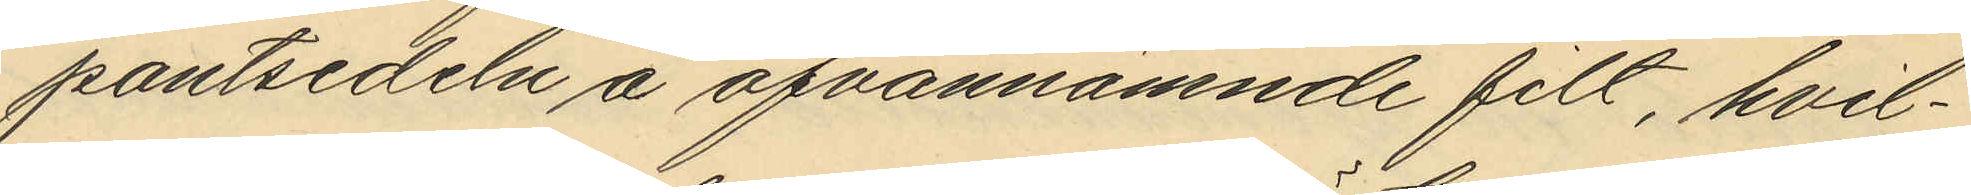pantsedeln å ofvannämnde filt, hvil¬
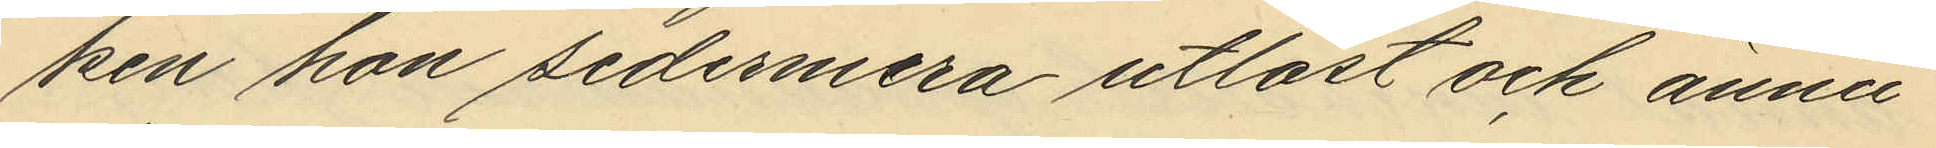ken han sedermera utlöst och ännu
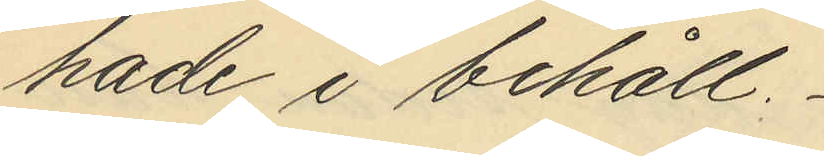hade i behåll.
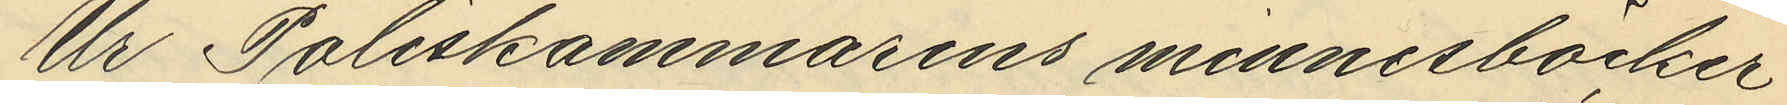Ur Poliskammarens minnesböcker
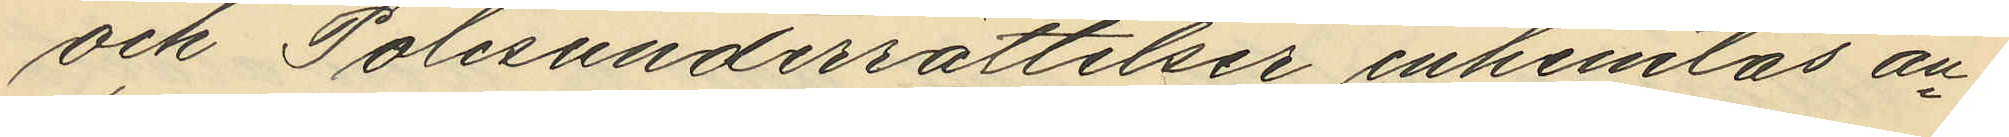och Polisunderrättelser inhemtas an¬
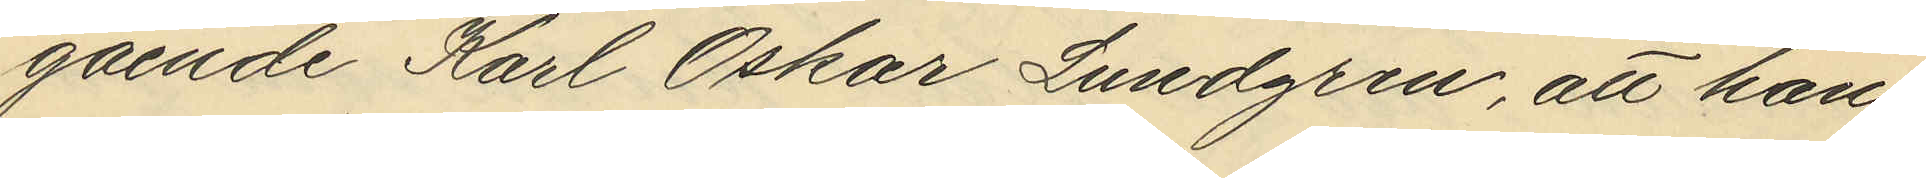gående Karl Oskar Lundgren, att han
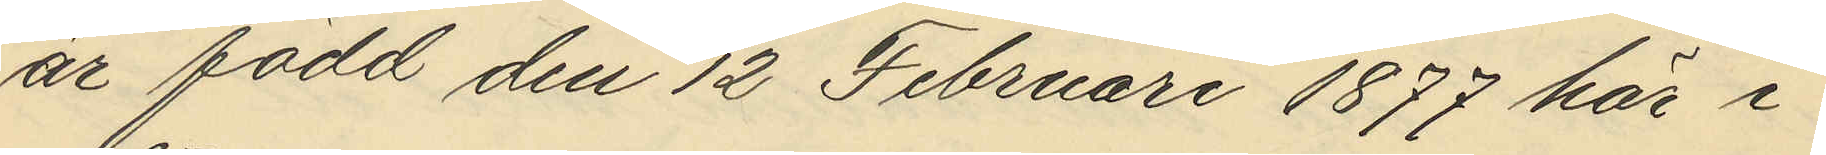är född den 12 Februari 1877 här i
